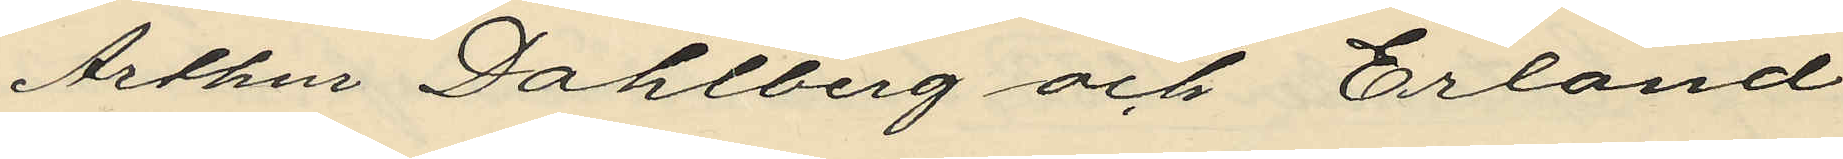Arthur Dahlberg och Erland
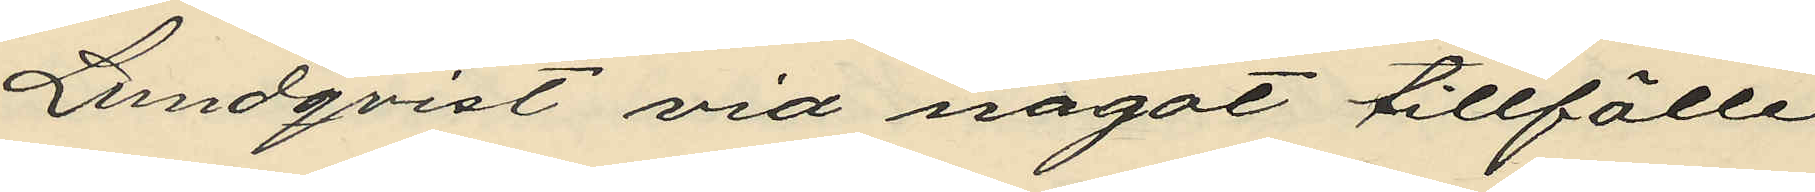Lundqvist vid något tillfälle
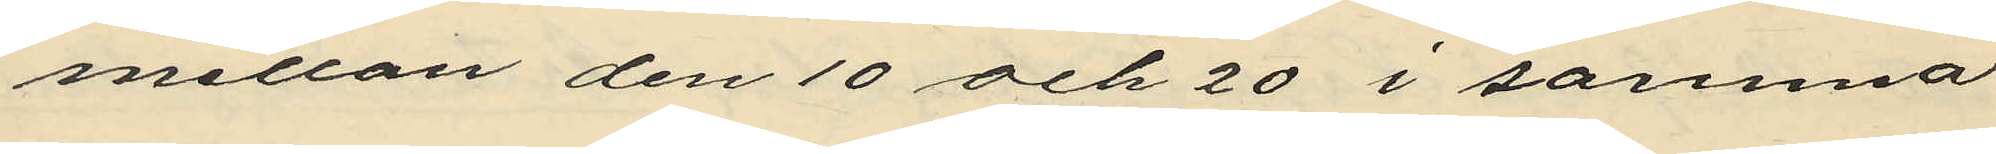mellan den 10 och 20 i samma
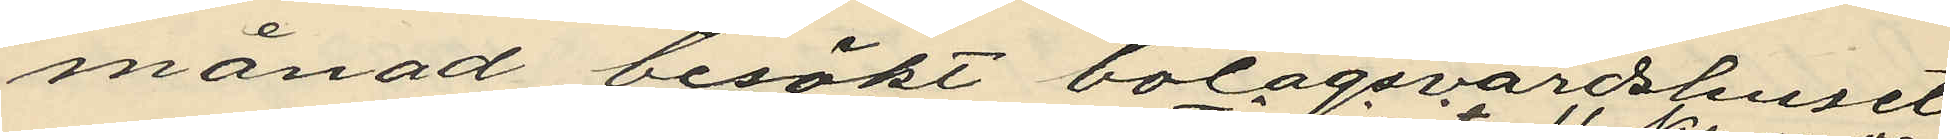månad besökt bolagsvärdshuset
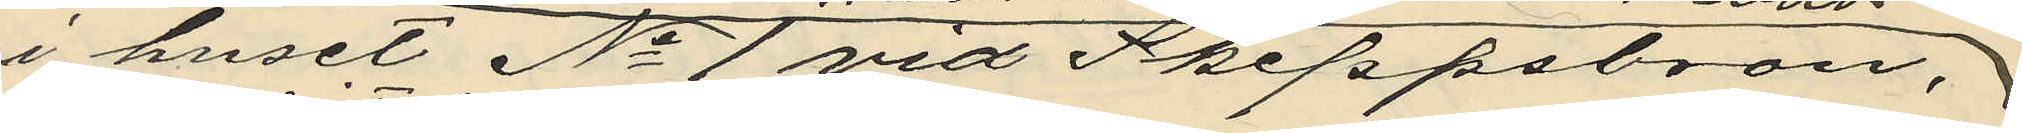i huset No 1 vid Skeppsbron,
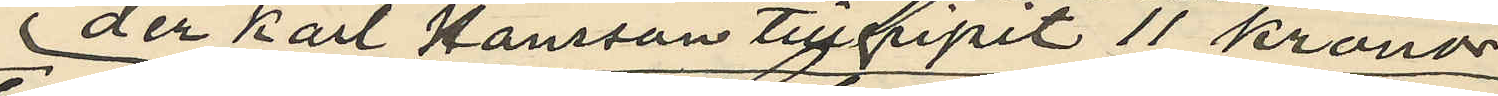der Karl Hansson tillgripit 11 Kronor
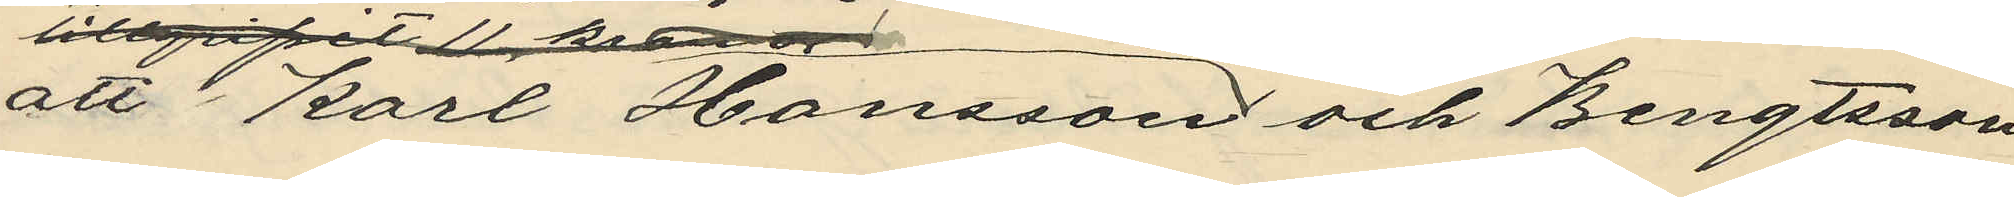att Karl Hansson och Bengtsson
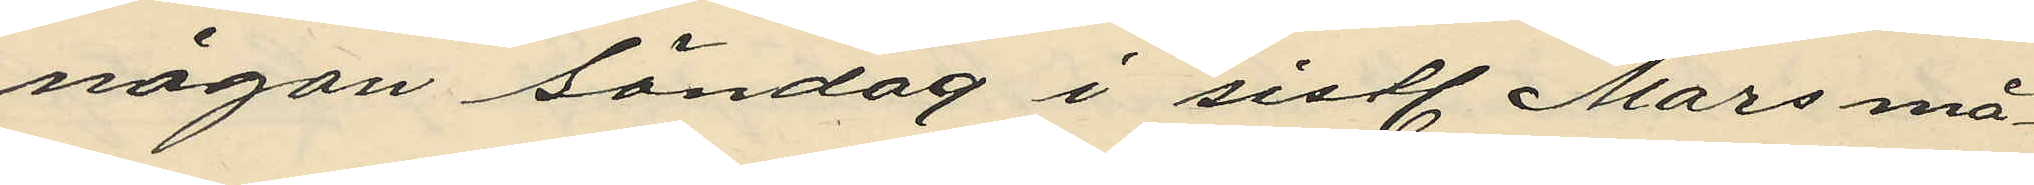någon Söndag i sistl. Mars må¬
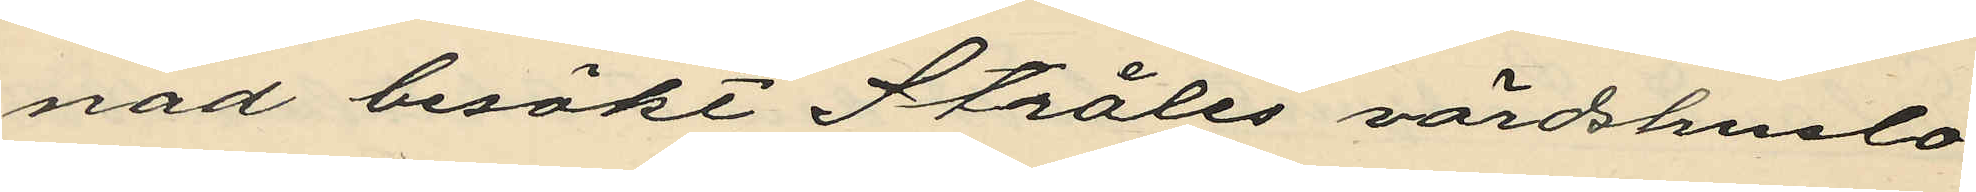nad besökt Stråles värdshuslo¬
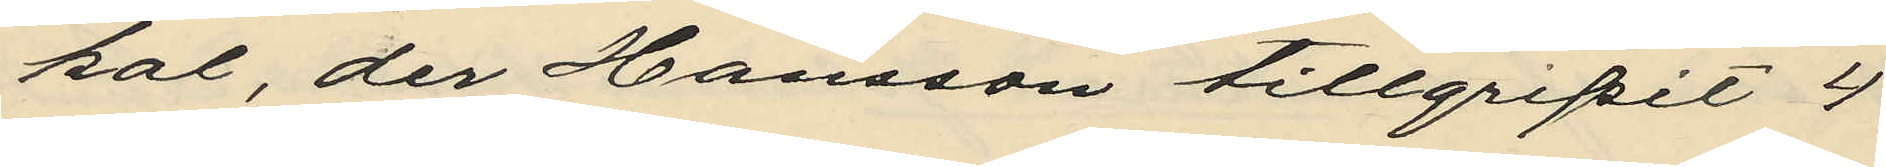kal, der Hansson tillgripit 4
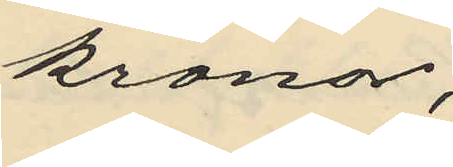Kronor;
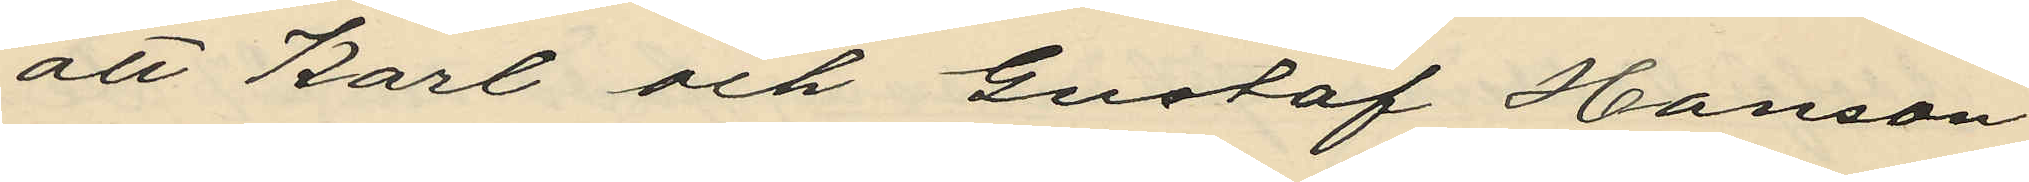att Karl och Gustaf Hanson
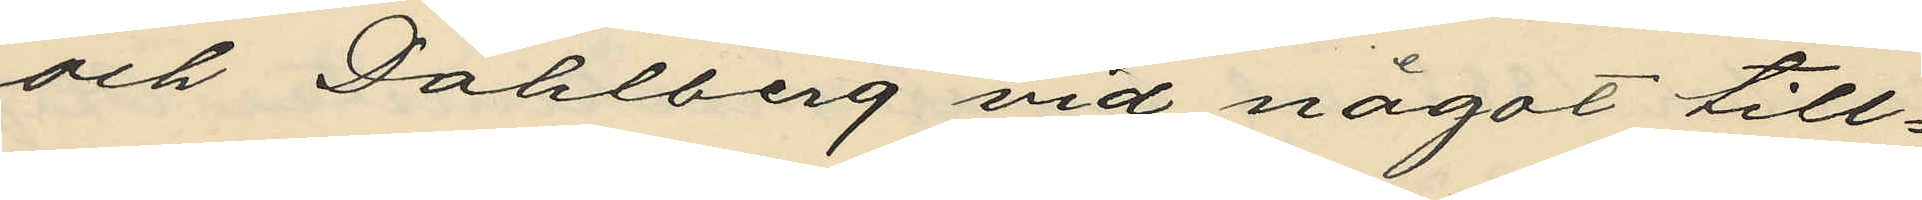och Dahlberg vid något till¬
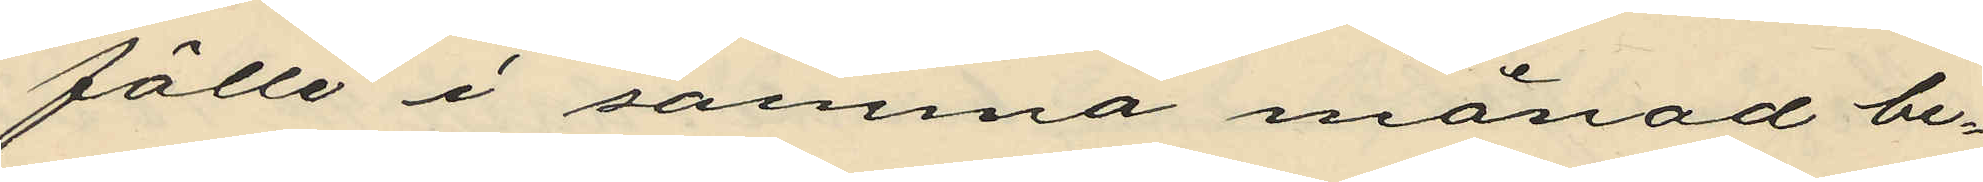fälle i samma månad be¬
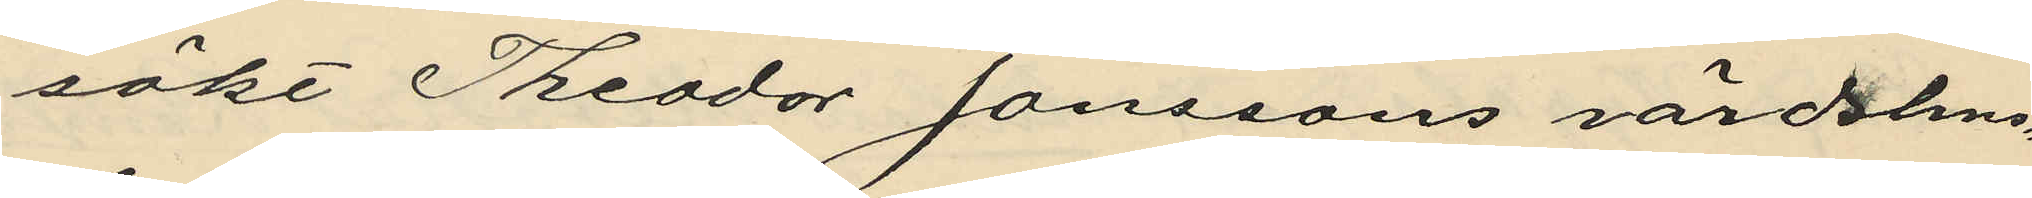sökt Theodor Janssons värdshus¬
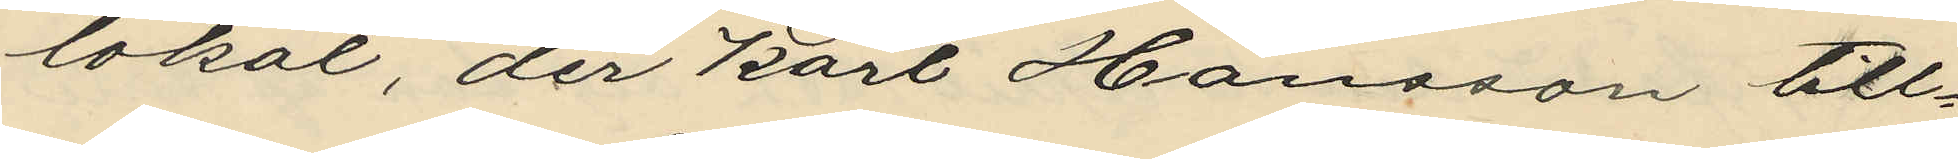lokal, der Karl Hansson till¬
